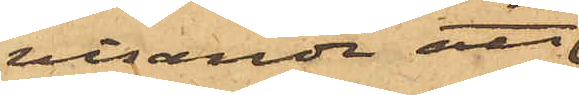visande att
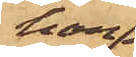han
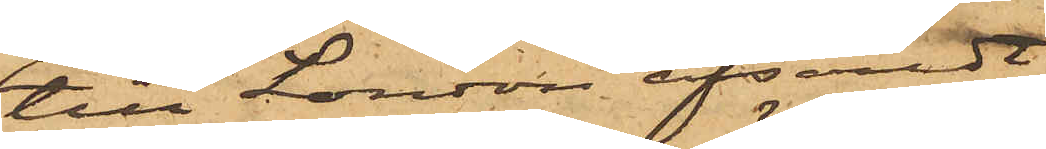till London afsändt
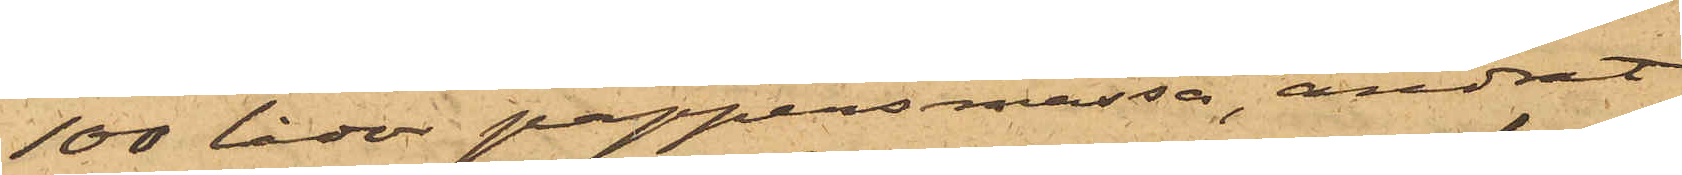100 lådor pappersmassa, ändrat
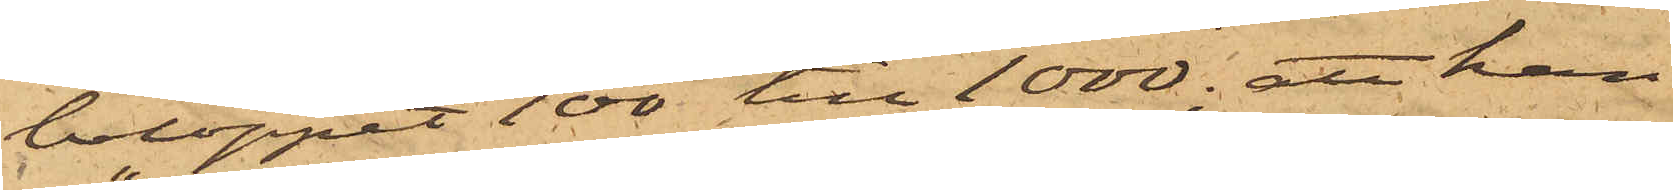beloppet 100 till 1000; att han
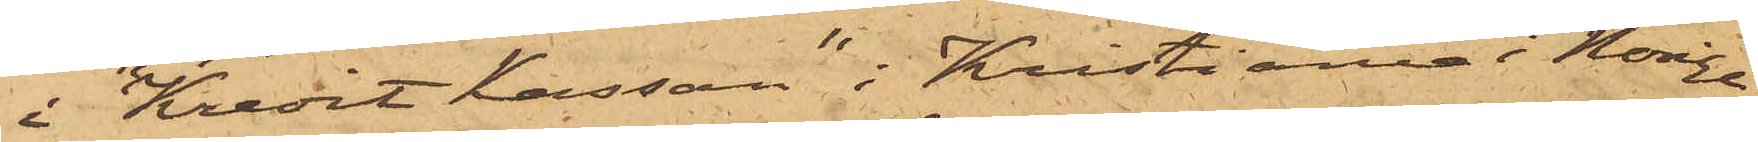i "Kredit Kassan" i Kristiania i Norige
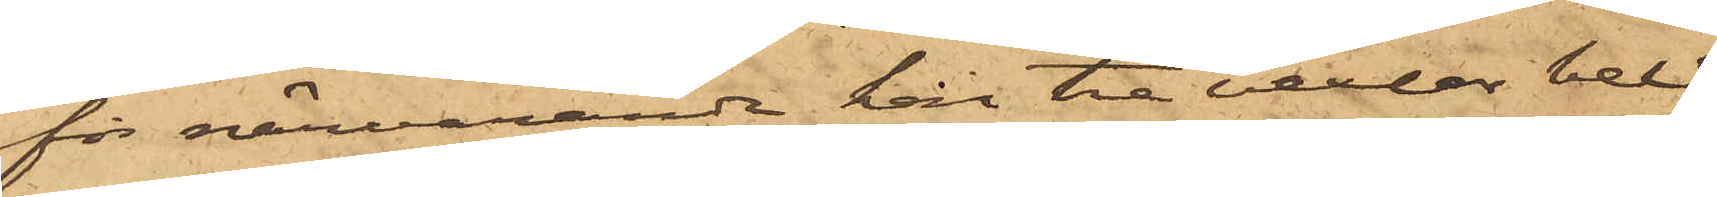för närvarande har tre vexlar belå¬
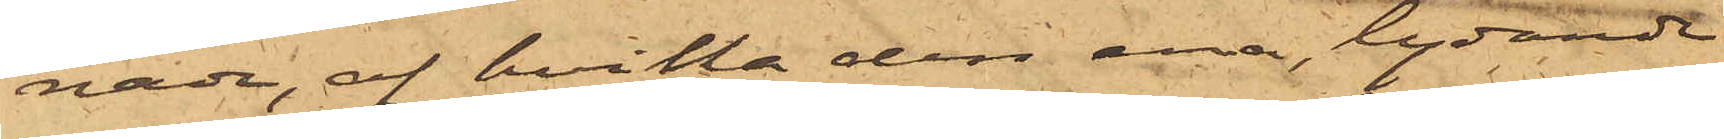nade, af hvilka den ene, lydande
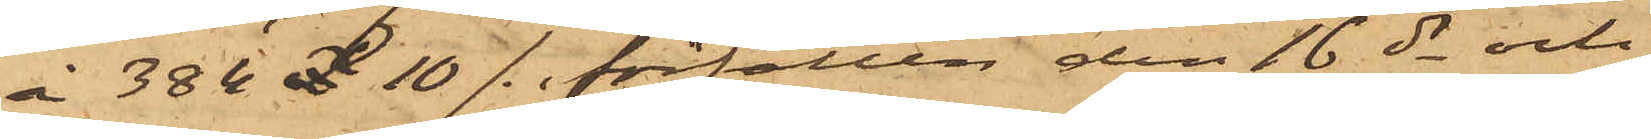å 384£ 10/- förfallen den 16 ds och
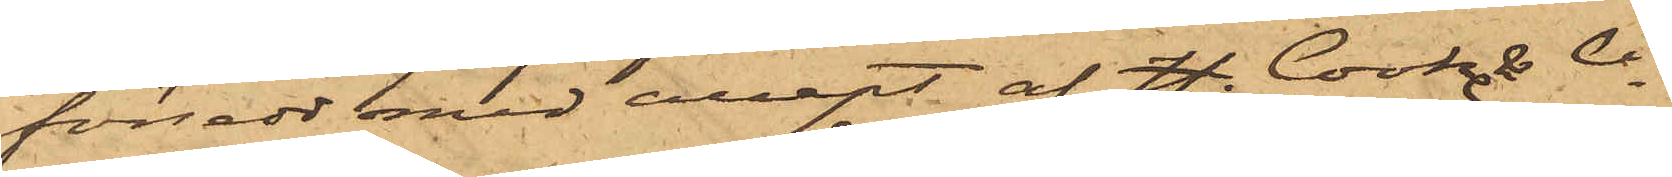försedd med accept af H. Cooke & Co
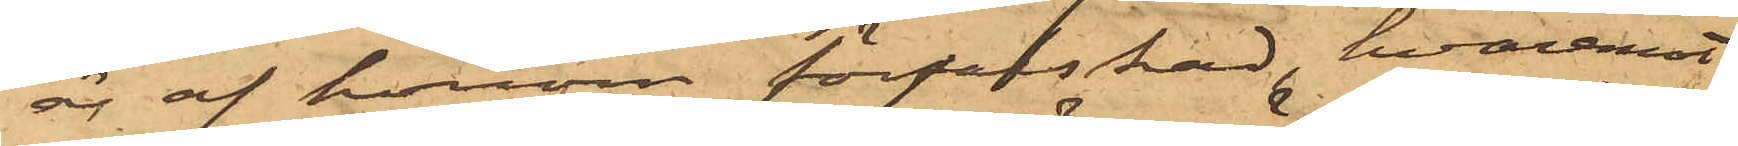är af honom förfalskad, hvaremot
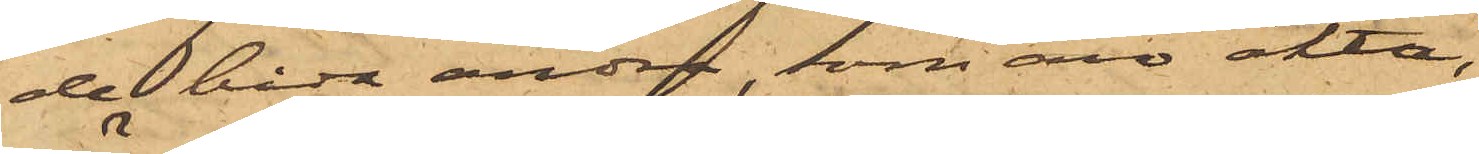de båda andra, som äro äkta,
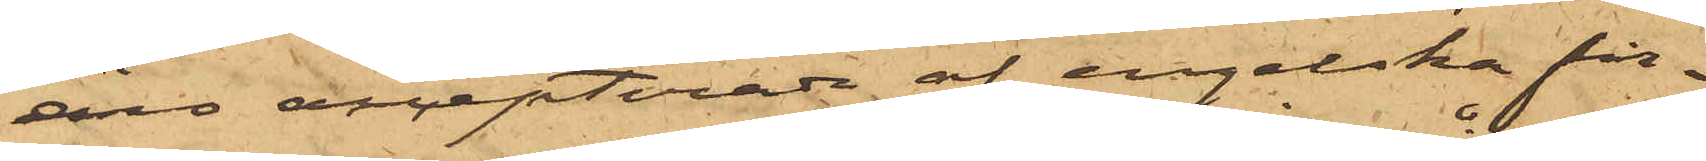äro accepterade af engelska fir¬
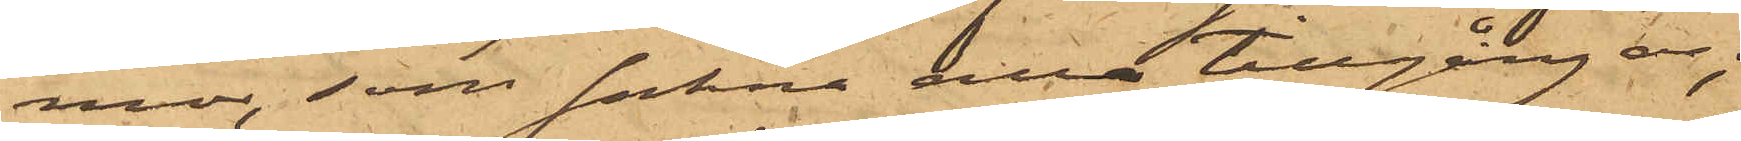mor, som sakna alla tillgångar;
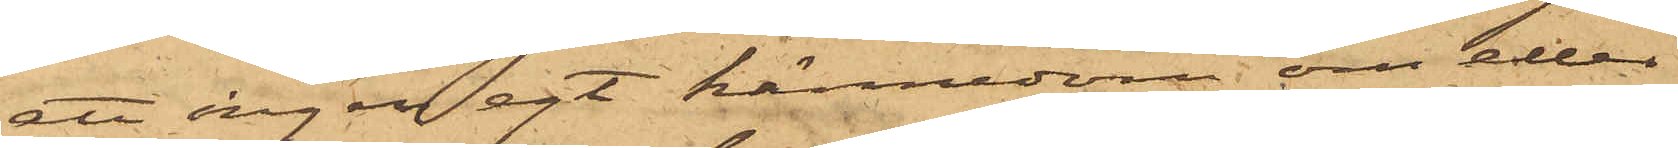att ingen egt kännedom om eller
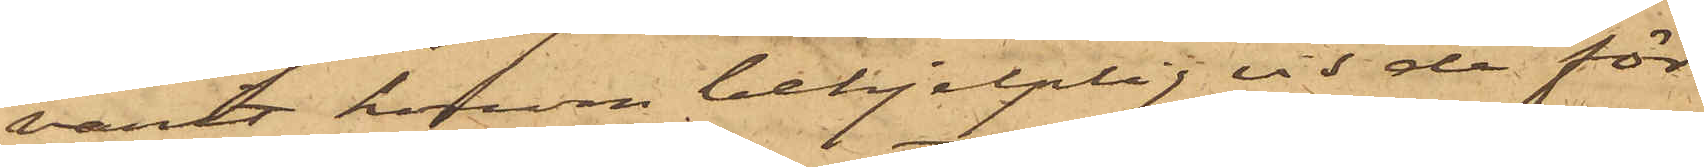varit honom behjelplig vid de för¬
